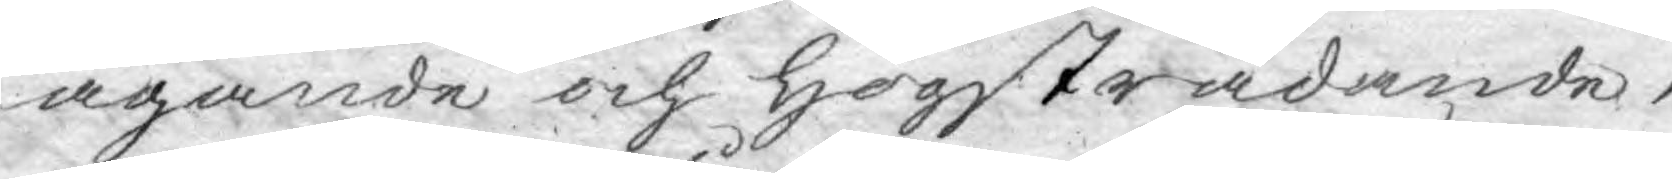ägande och högstrådande,
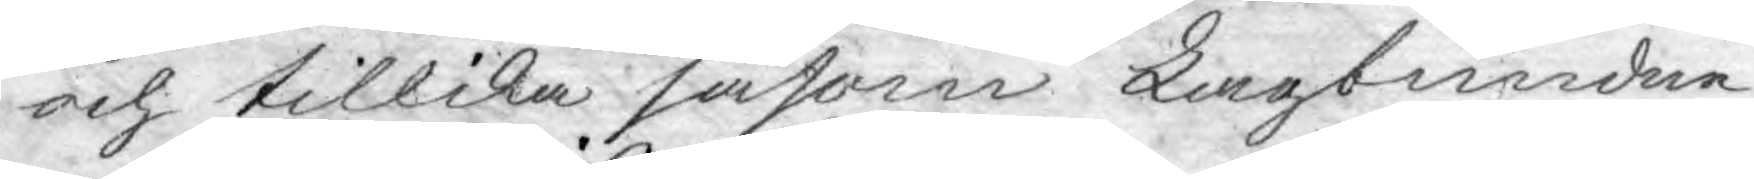och tillika såsom Lagbundne
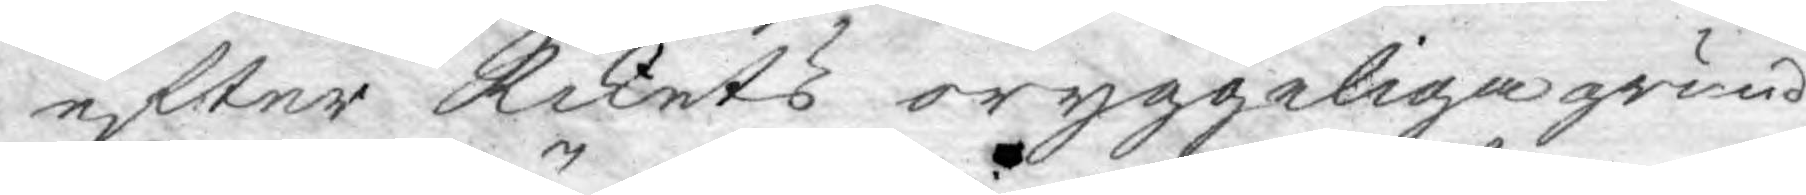efter Rikets oryggeliga grund
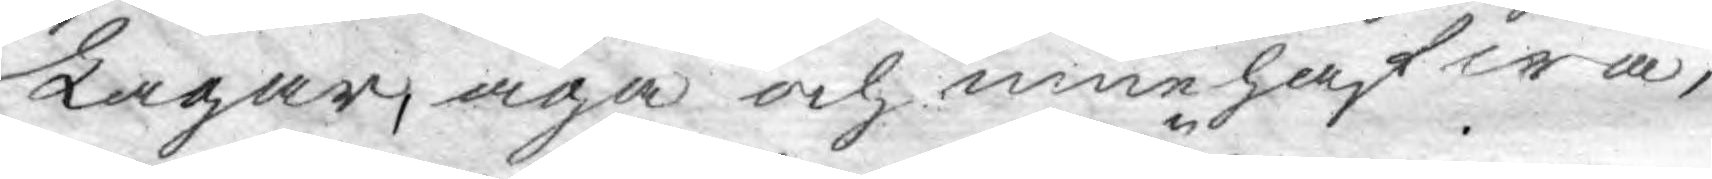Lagar, äga och innehafwa,
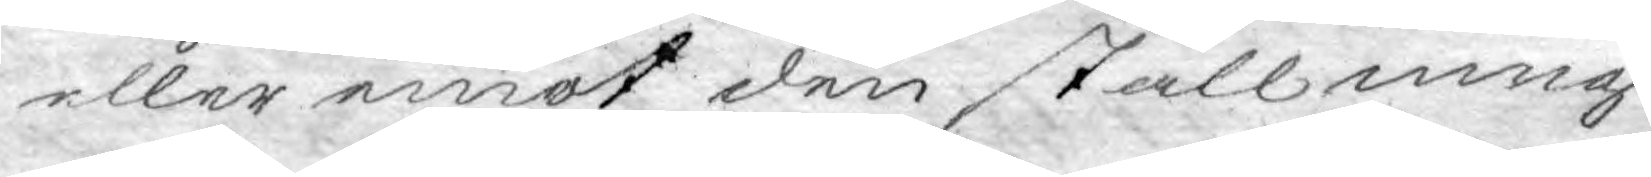eller emot den ställning
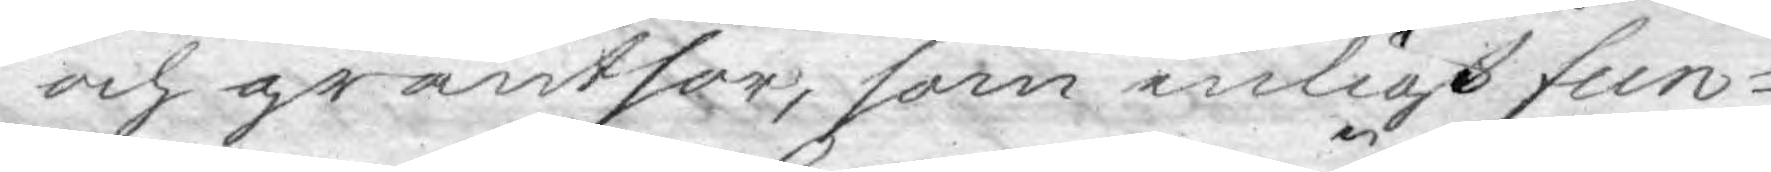och gräntsor, som enligt fun¬
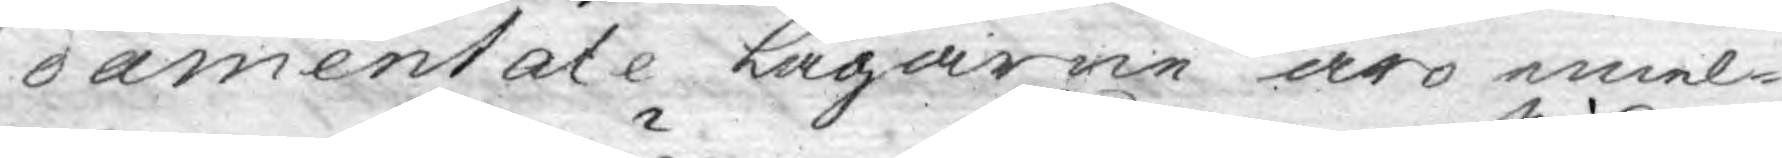damentale Lagarne äro emel¬
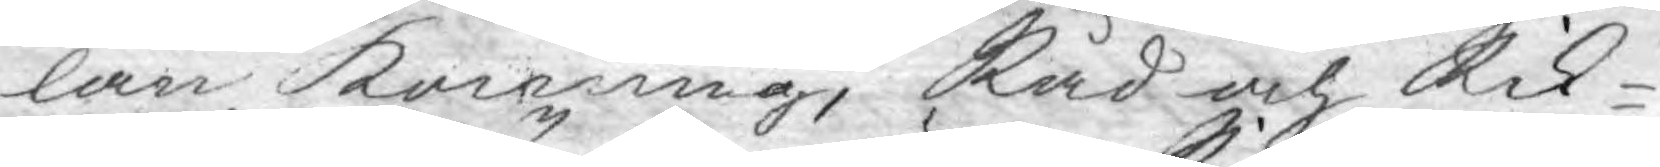lan konung, Råd och Rik¬
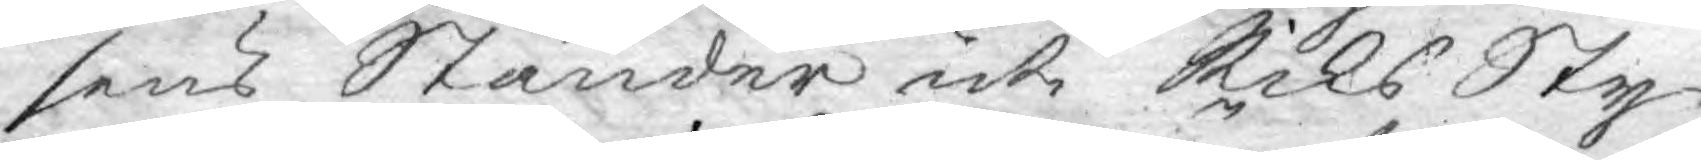sens Ständer uti Riks Sty¬
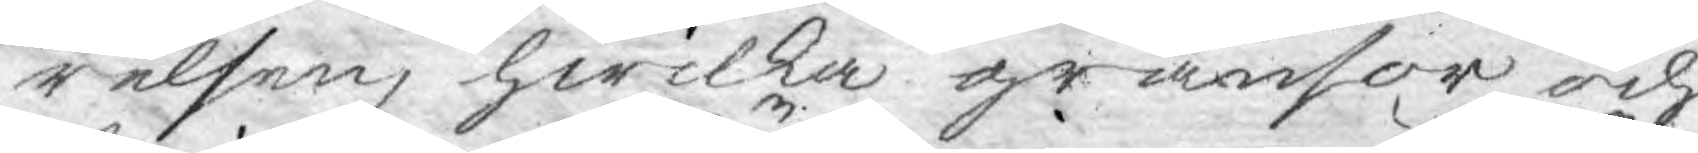relsen, hwilka gränsor och
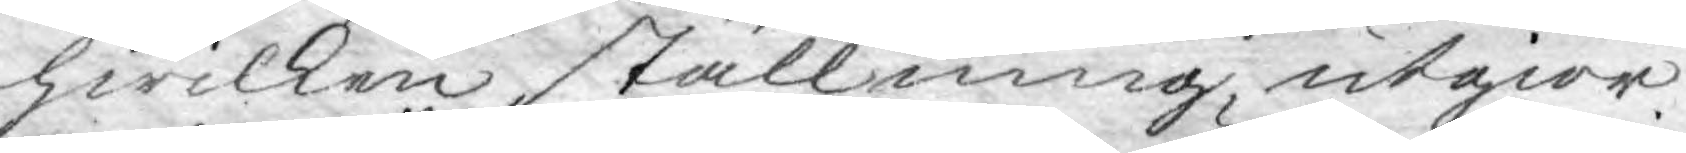hwilken ställning, utgiör
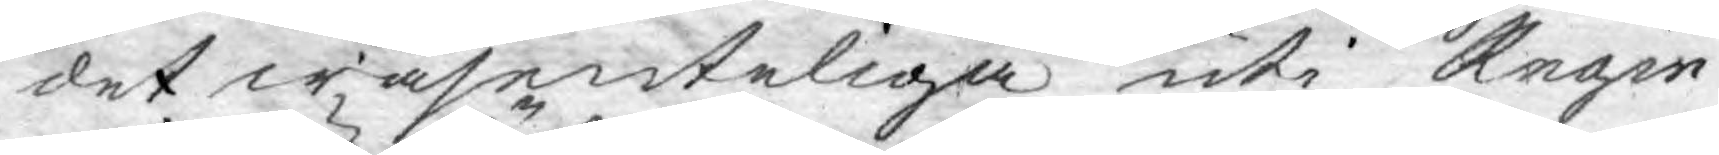det wäsenteliga uti Regie¬
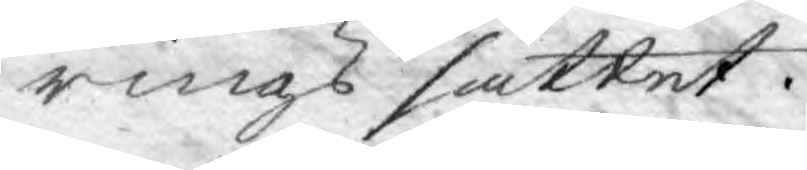rings sättet.
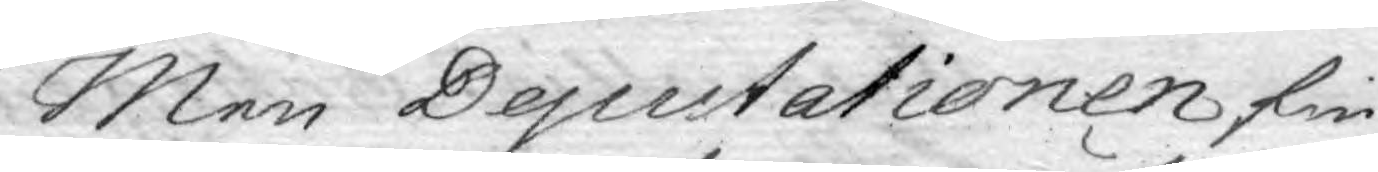Men Deputationen fin¬
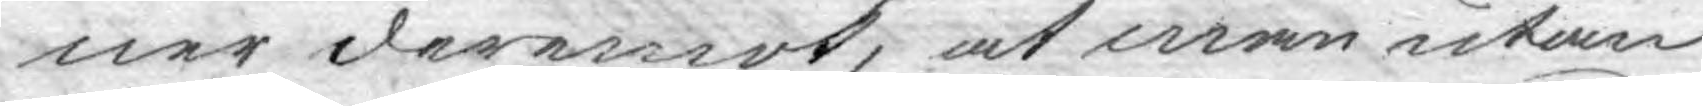ner deremot, at man utan
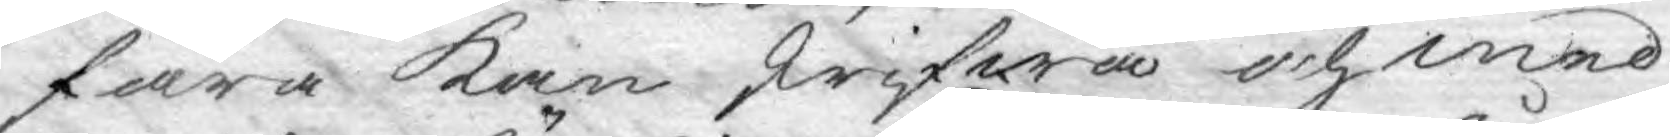fara kan skrifwa och med
